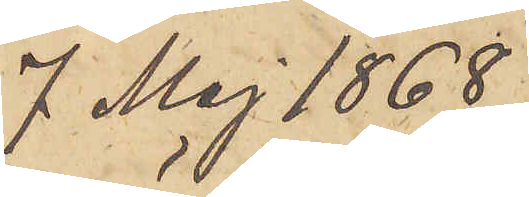7 Maj 1868
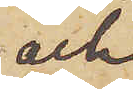och
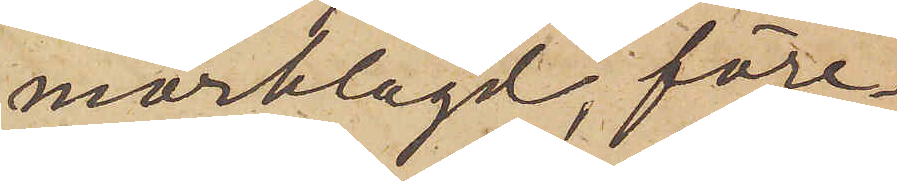mörklagd, före¬
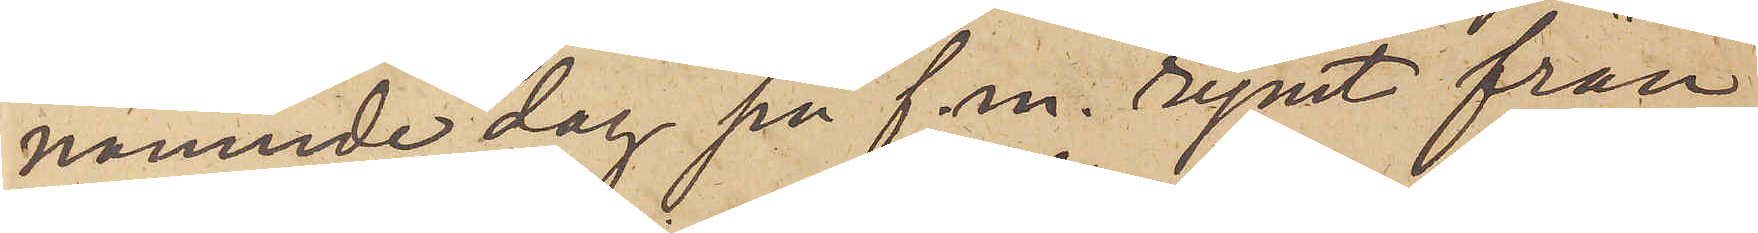nämnde dag på f.m. rymt från
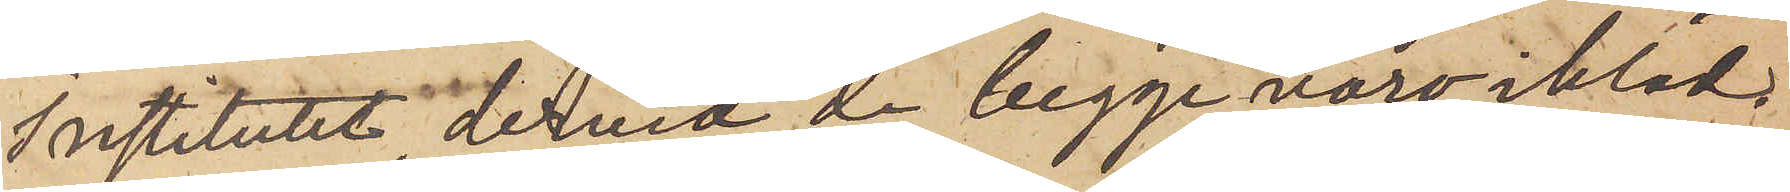Institutet, dervid de begge voro ikläd¬
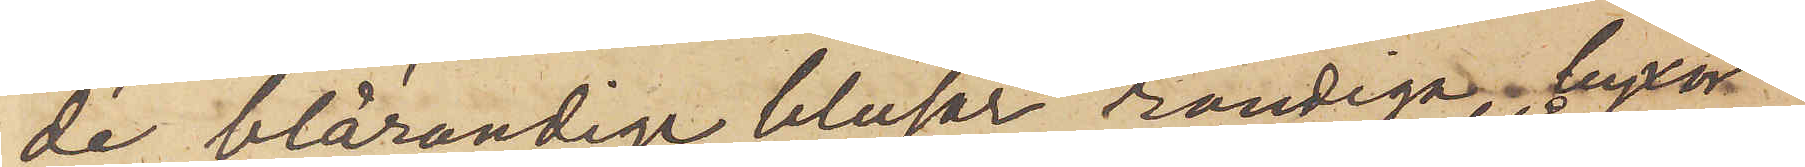de blårandige blusar, randiga byxor
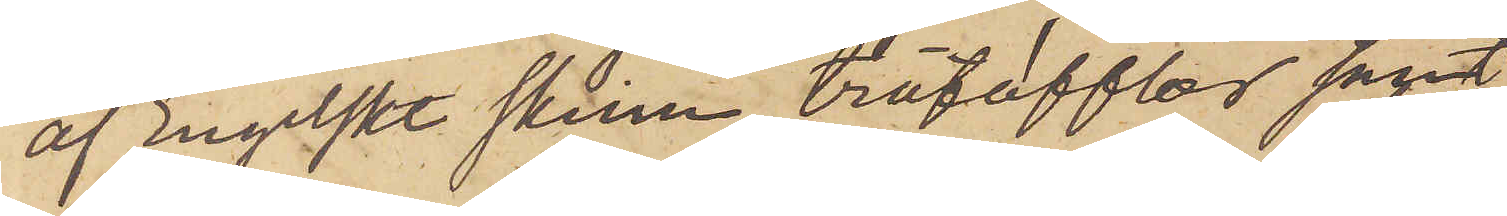af Engelskt skinn, trätofflor samt
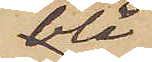blå
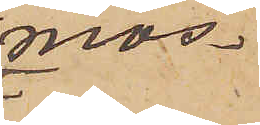mös¬
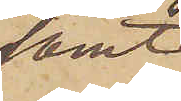samt
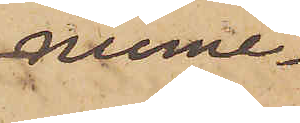nume¬
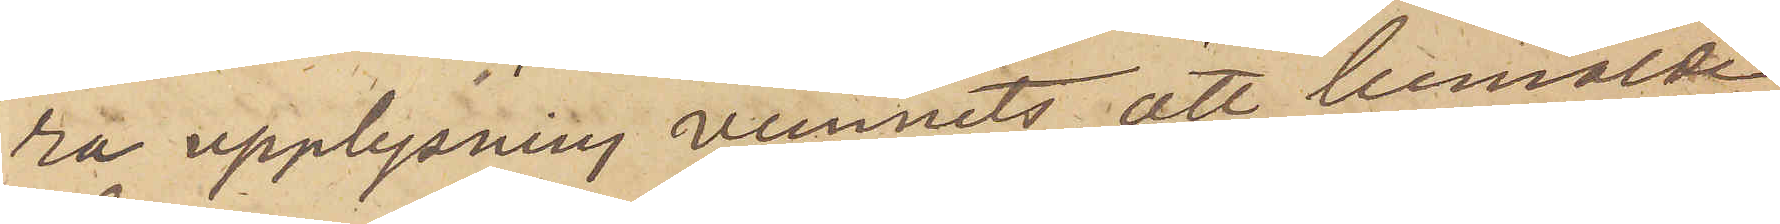ra upplysning vunnits, att bemälde
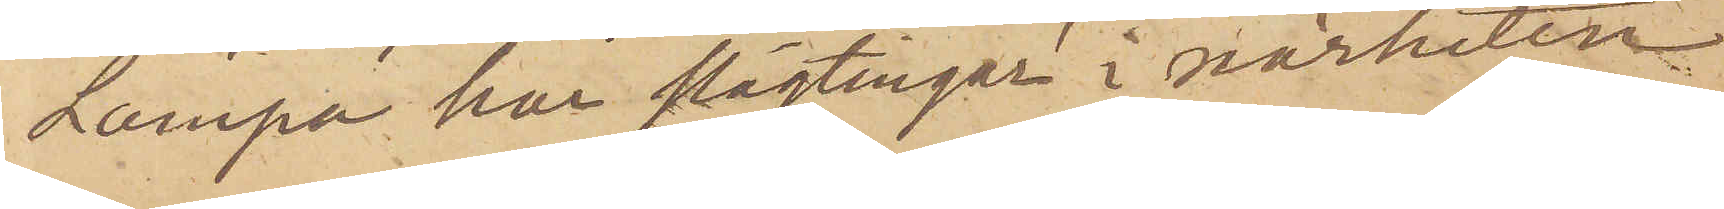Lampa har slägtingar i närheten
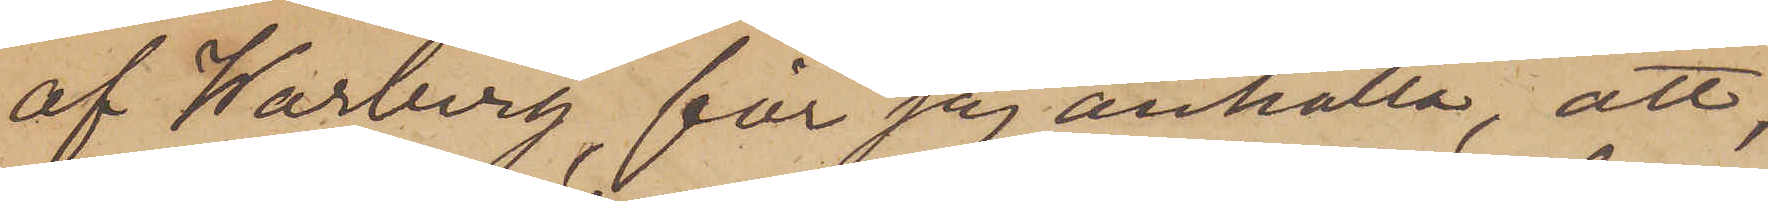af Warberg, får jag anhålla, att
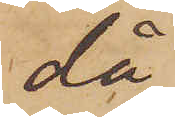då
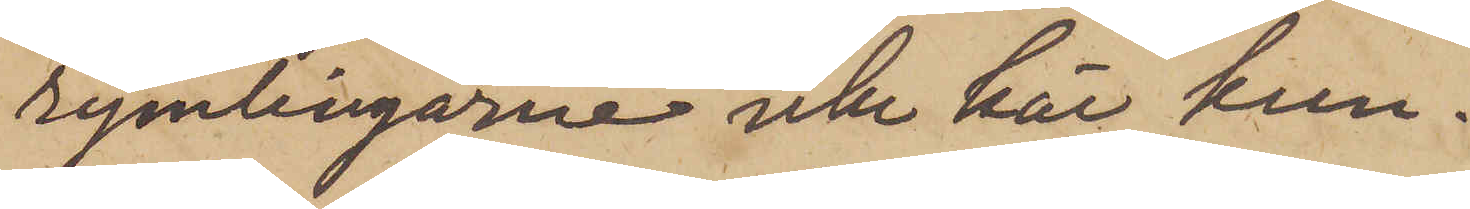rymlingarne icke här kun¬
